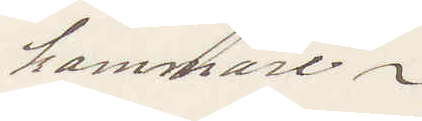kammare.
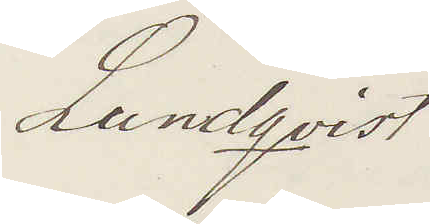Lundqvist
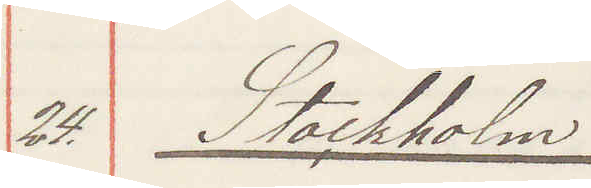24. Stockholm
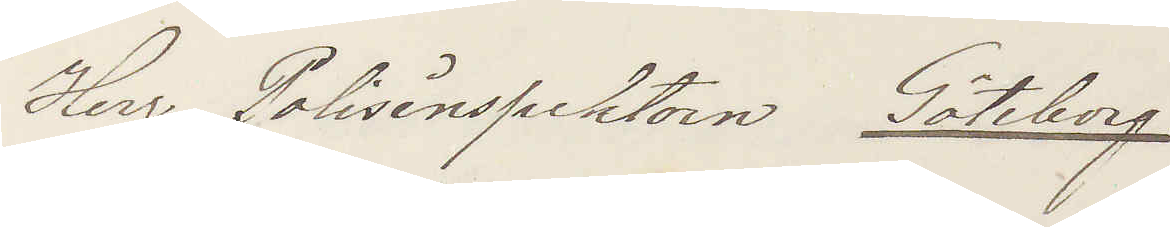Herr Polisinspektorn Göteborg
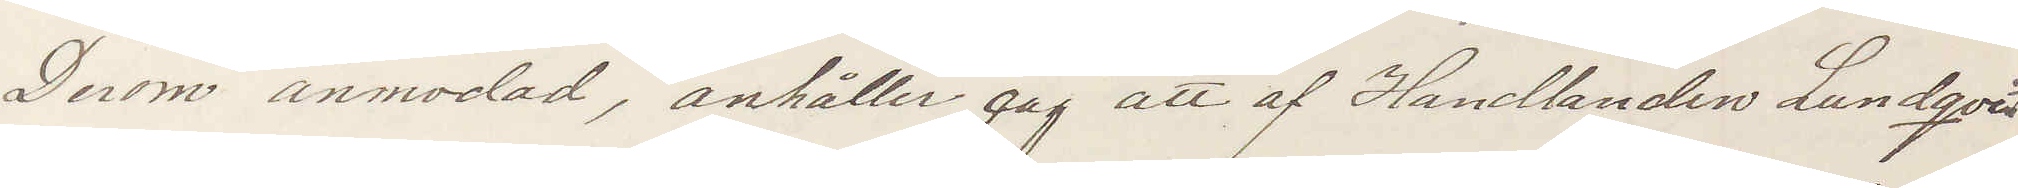Derom anmodad, anhåller jag att af Handlanden Lundqvist
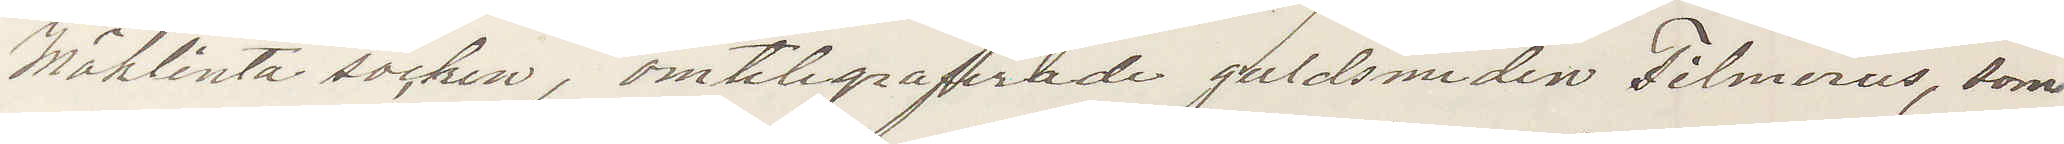Möklinta socken, omtelegraferade guldsmeden Filmerus som
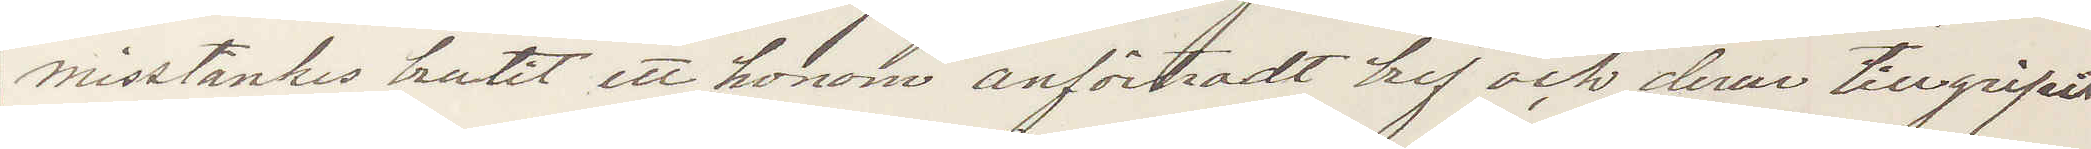misstankes brutit ett honom anförtrodt bref och derur tillgripit
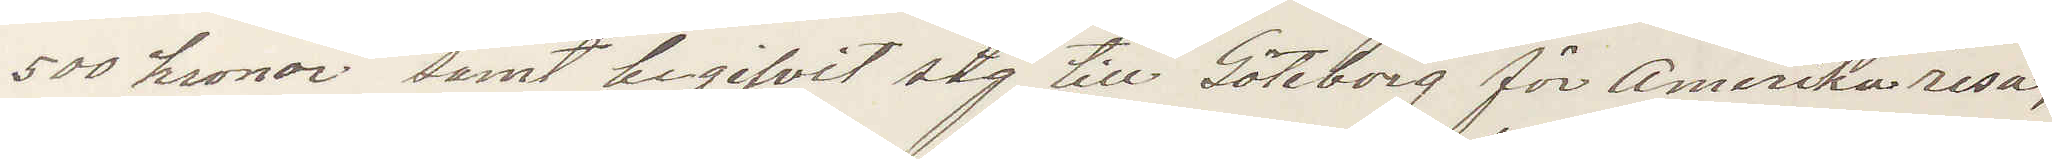500 kronor samt begifvit sig till Göteborg för Amerikaresa,
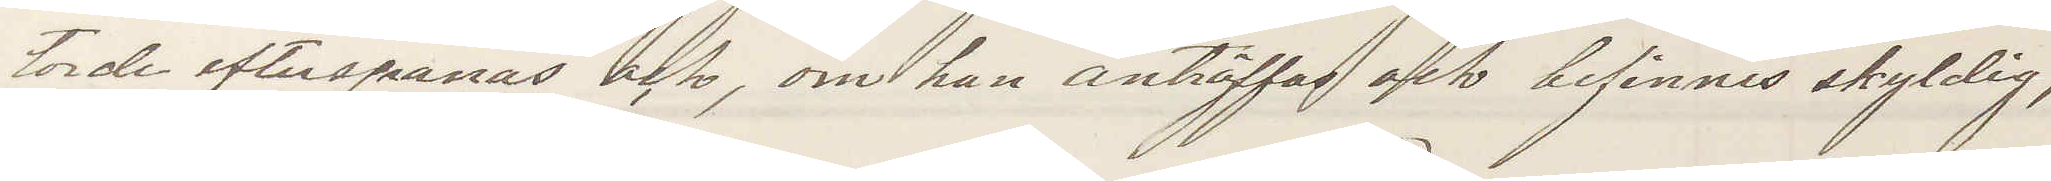torde efterspanas och, om han anträffas och befinnes skyldig,
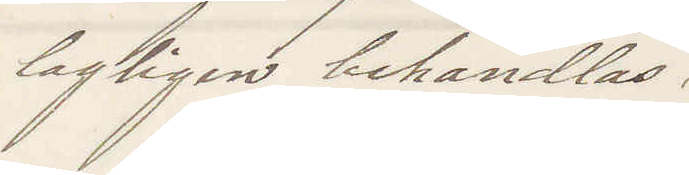lagligen behandlas.
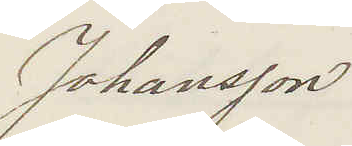Johansson
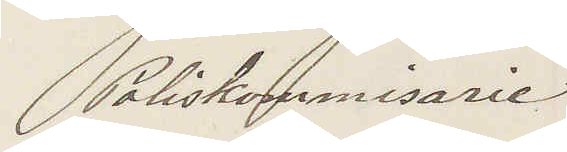Poliskommissarie
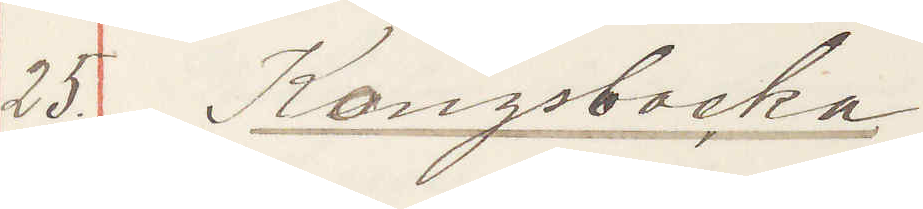25. Kongsbacka
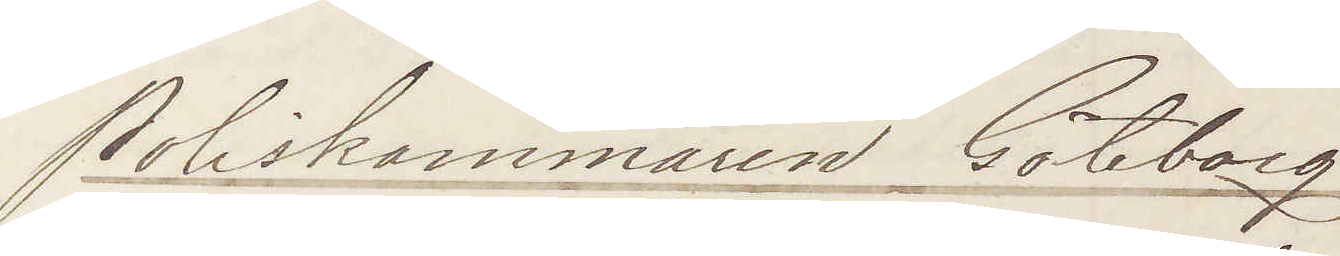Poliskammaren Göteborg
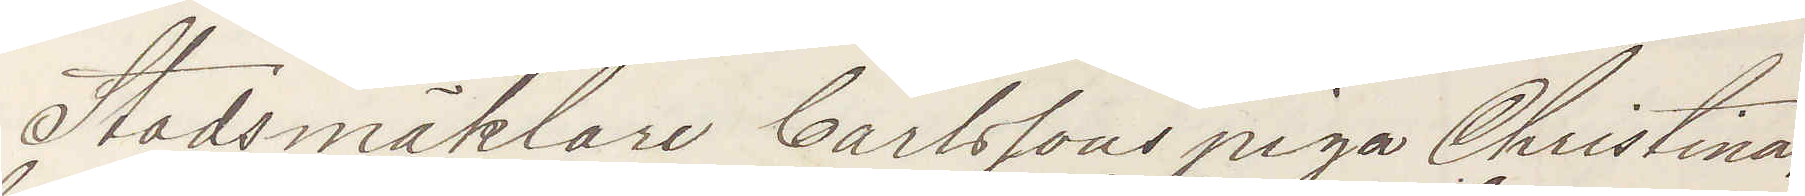Stadsmäklare Carlssons piga Christina
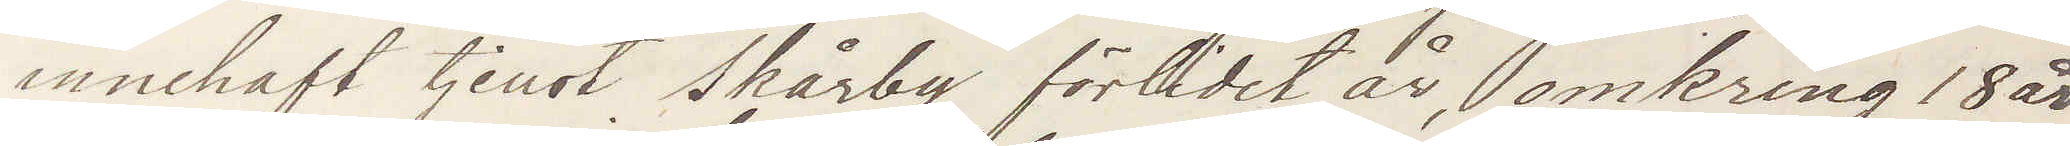innehaft tjenst Skårby förlidet år omkring 18 år
